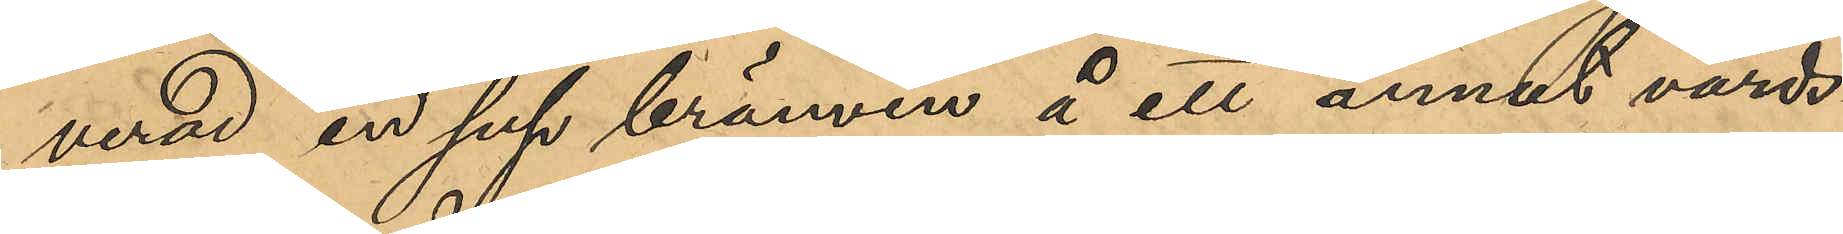verad en sup brännvin å ett annat värds¬
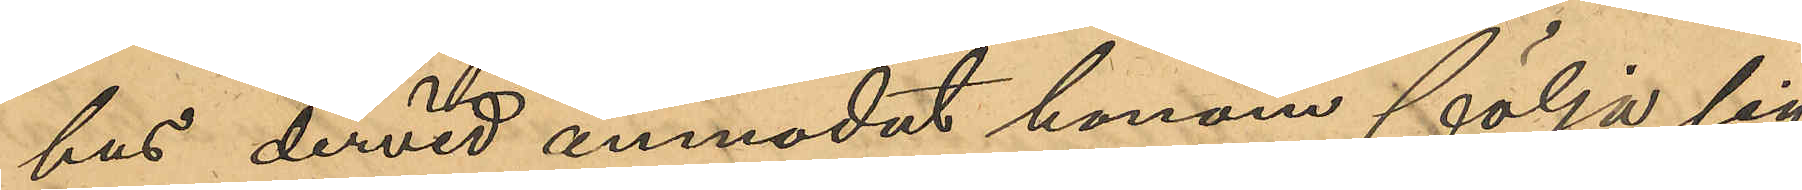hus dervid anmodat honom följa sig
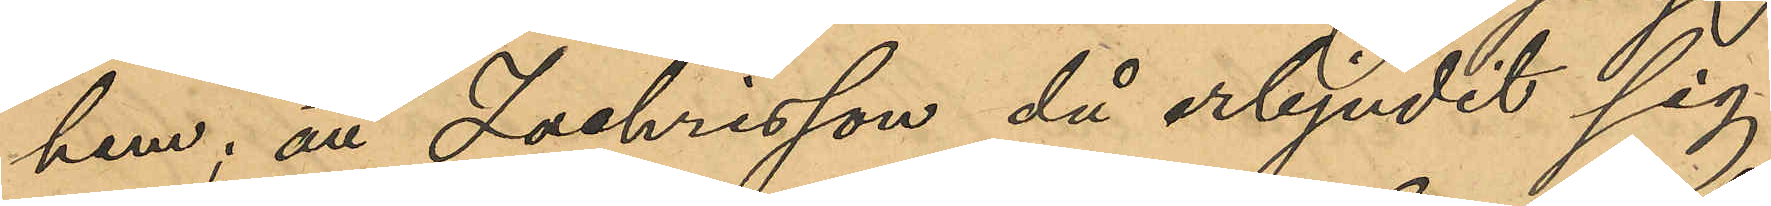hem; att Zachrisson, då erbjudit sig
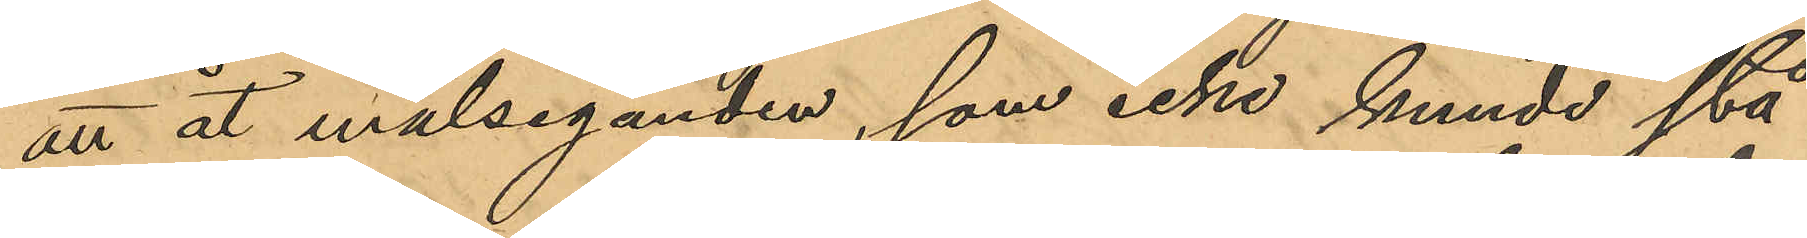att åt målseganden, som icke kunde stå
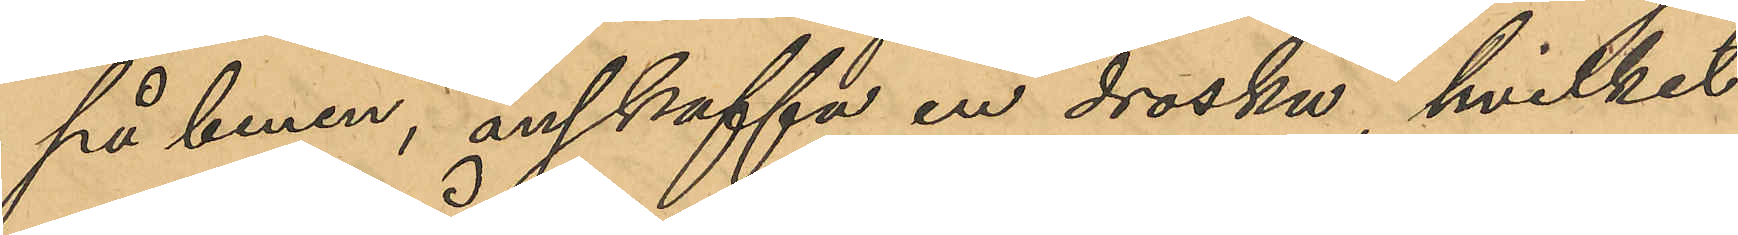på benen, anskaffa en droska, hvilket
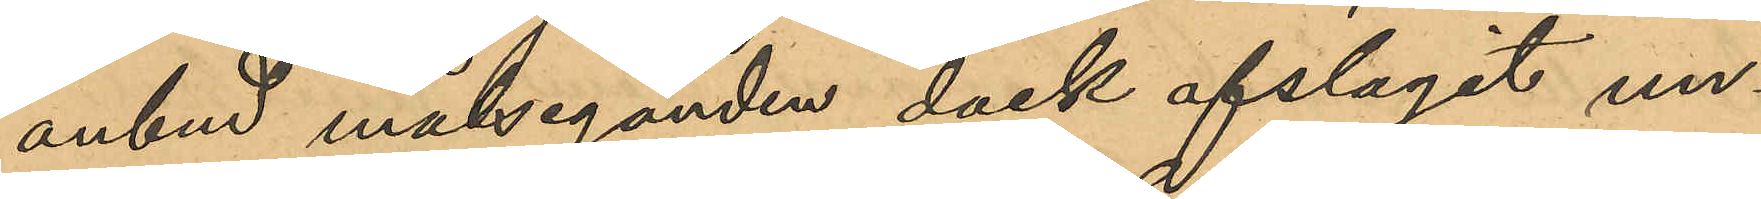anbud målseganden dock afslagit un¬
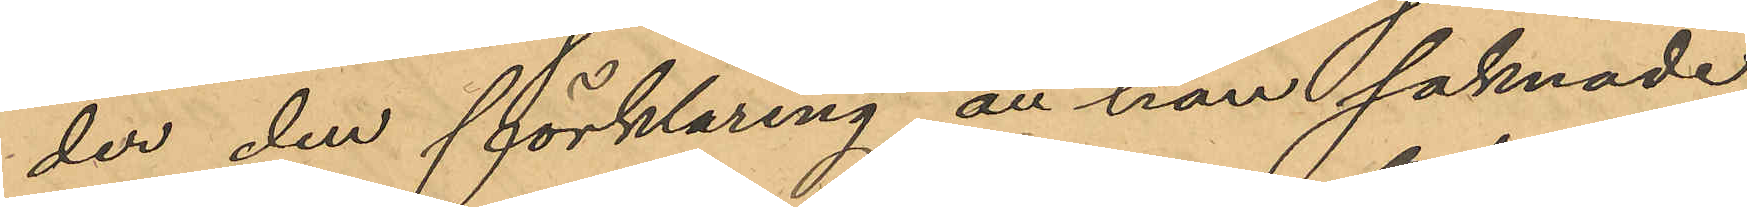der den förklaring at han saknade
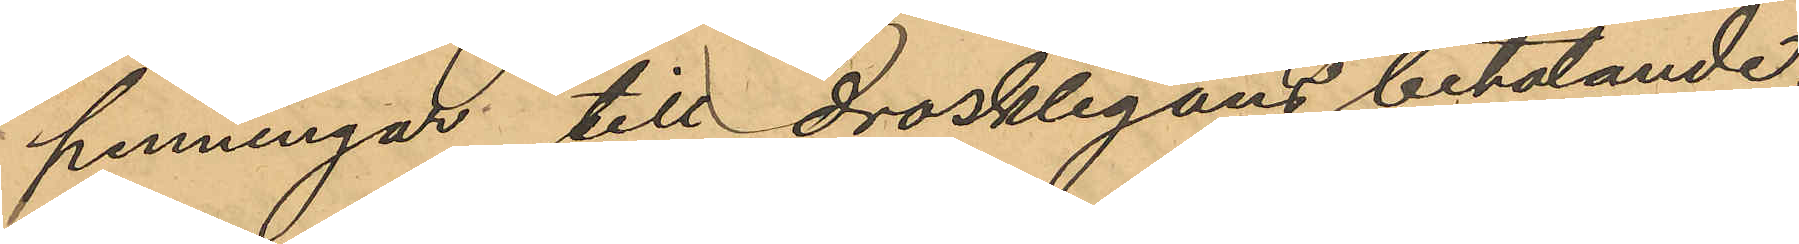penningar till drosklegans betalande,
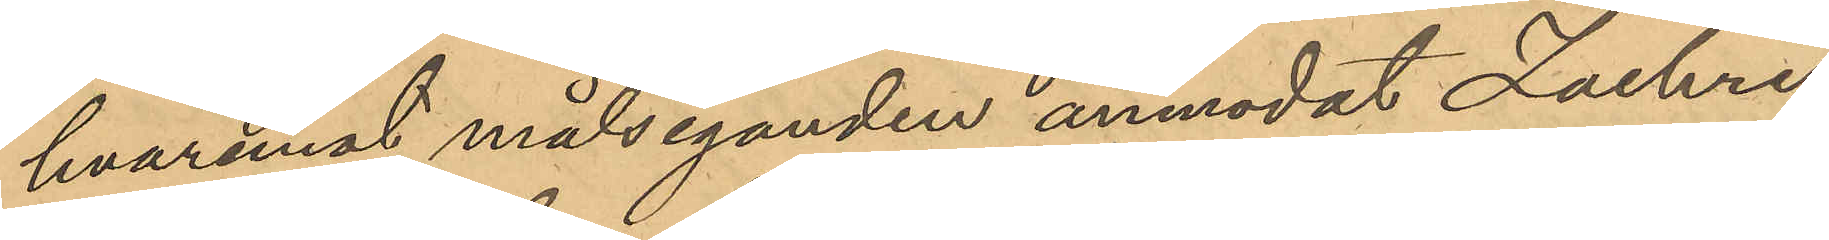hvaremot målseganden anmodat Zachris¬
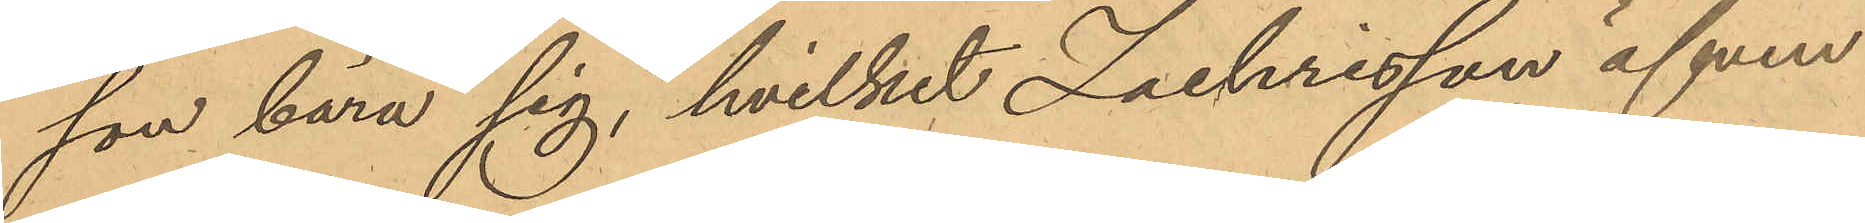son bära sig, hvilket Zachrisson äfven
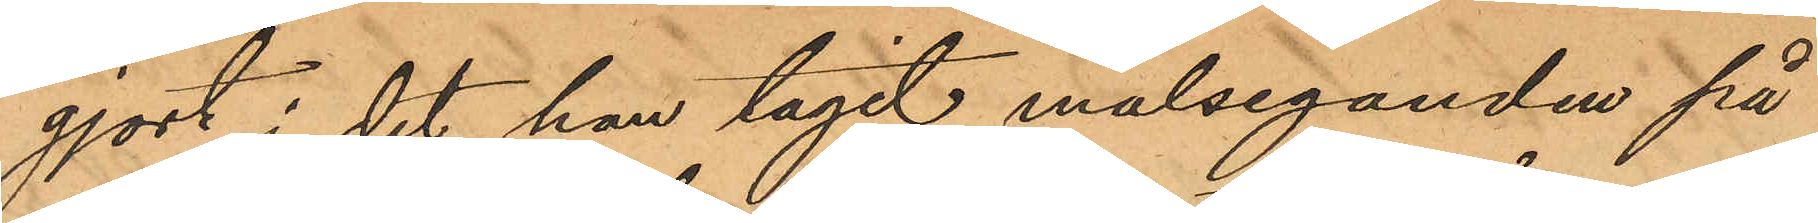gjort i det han tagit målseganden på
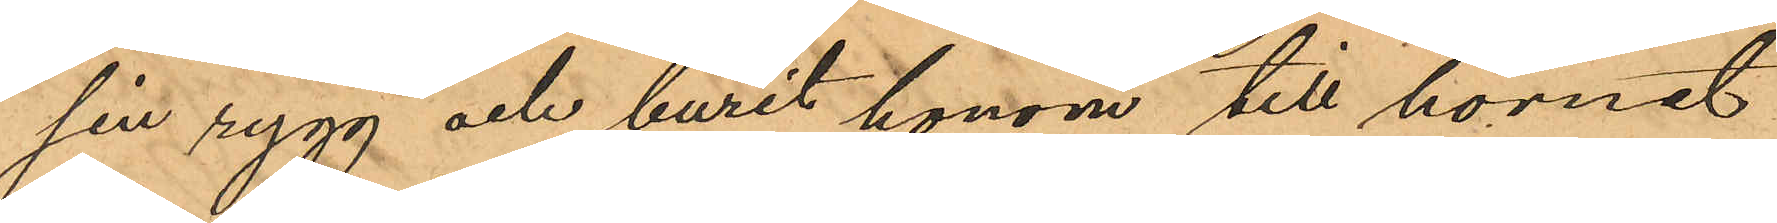sin rygg och burit honom till hörnet
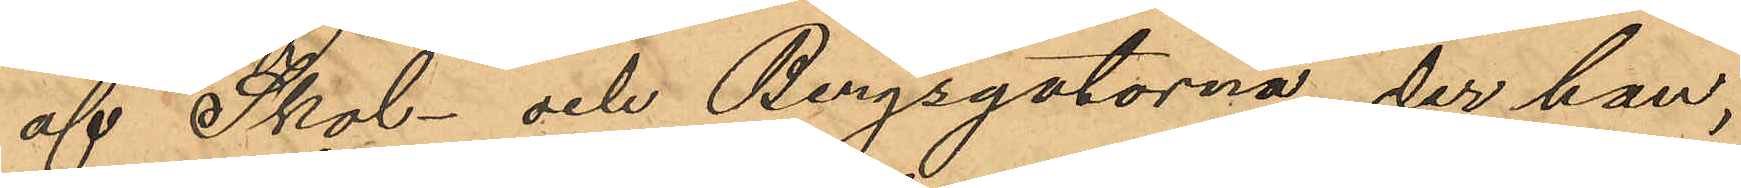af Skol- och Bergsgatorna, der han,
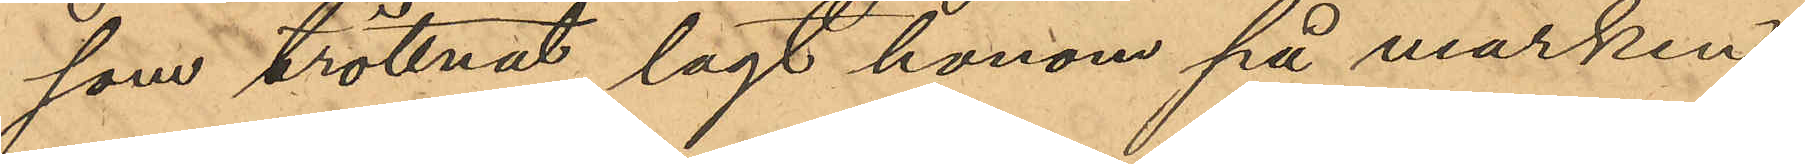som tröttnat, lagt honom på marken;
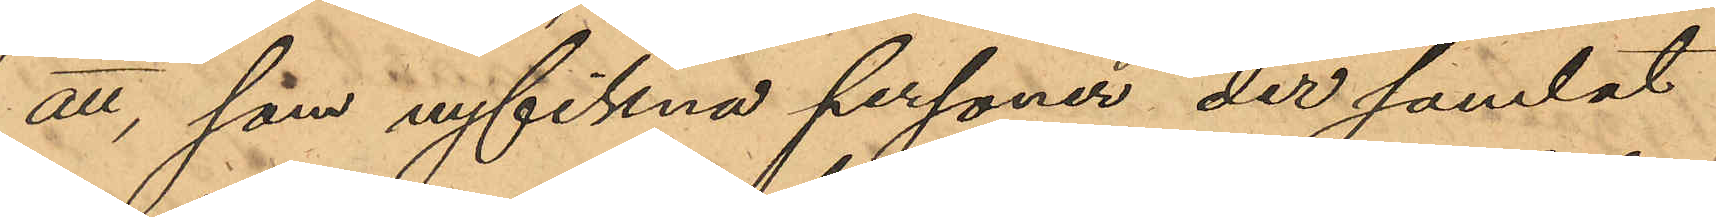att, som nyfikna personer der samlat
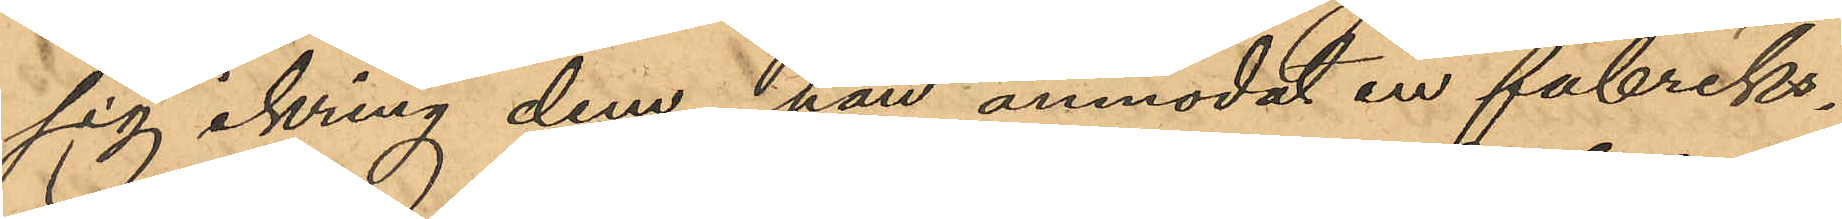sig ikring dem, han anmodat en fabriks¬
